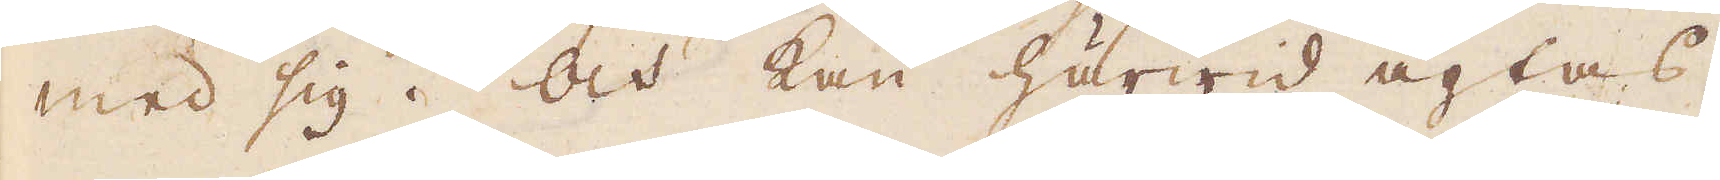med sig. Och kan härwid agtas,
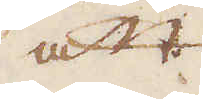att
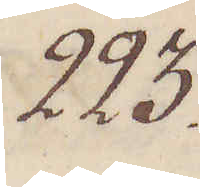223.
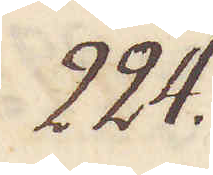224.
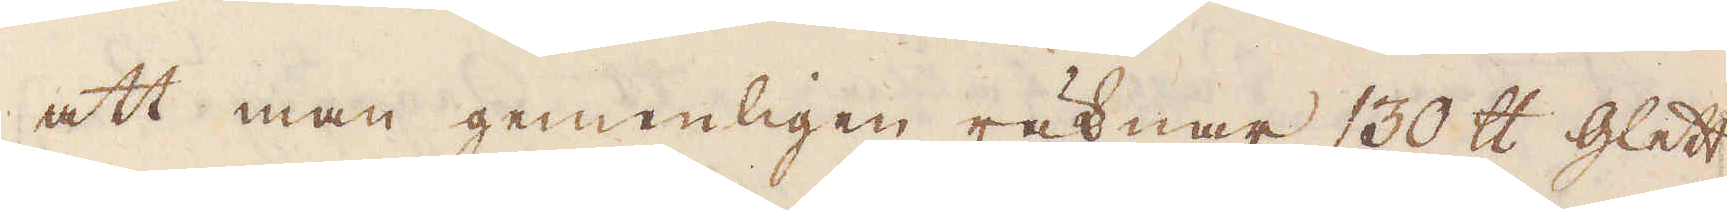att man gemenligen räknar 130 skålpund glett
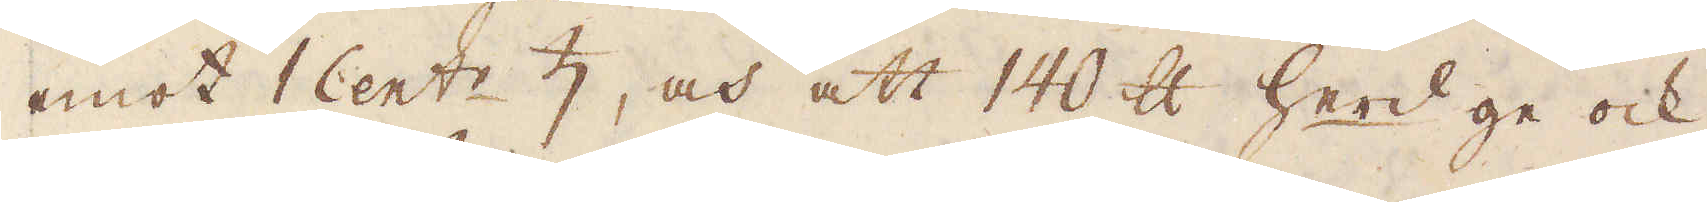emot 1 Cent:r ♄, och att 140 skålpund herd ge ock
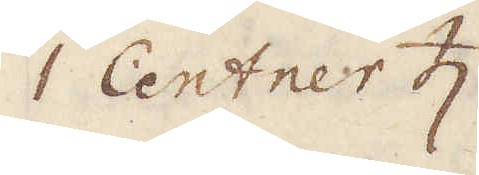1 Centrer ♄.
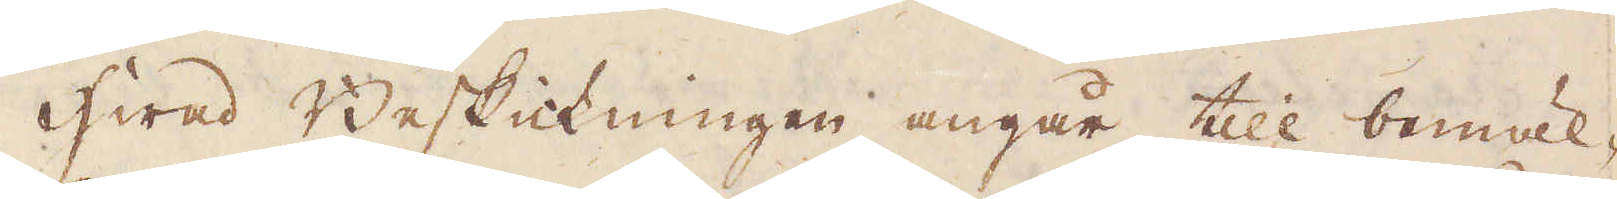Hwad Beskickningen angår till bemäl-
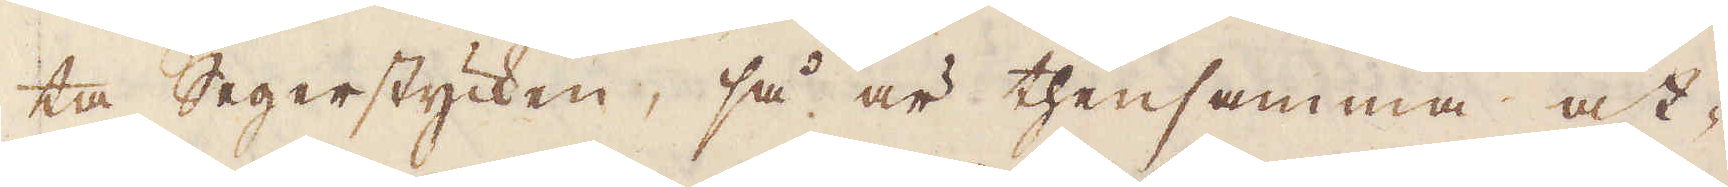ta Segerstycken, så är thensamma åt-
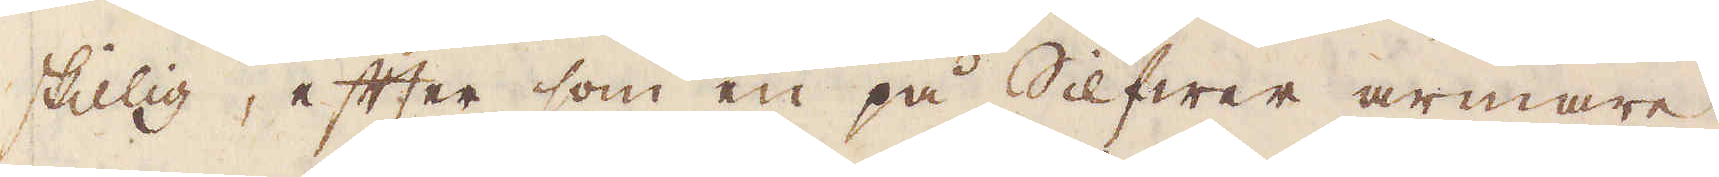skillig, efter som en på Silfwer armare,
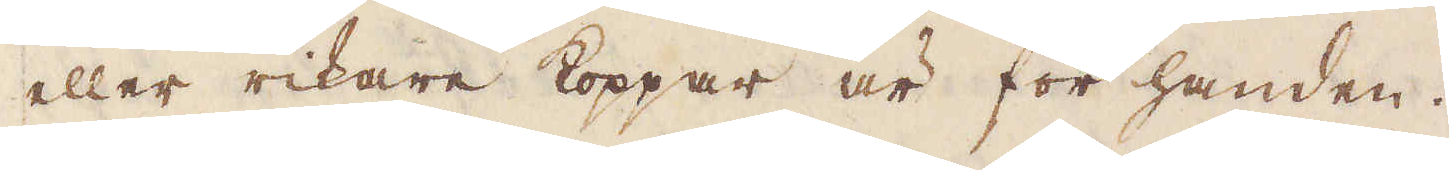eller rikare koppar är för handen.
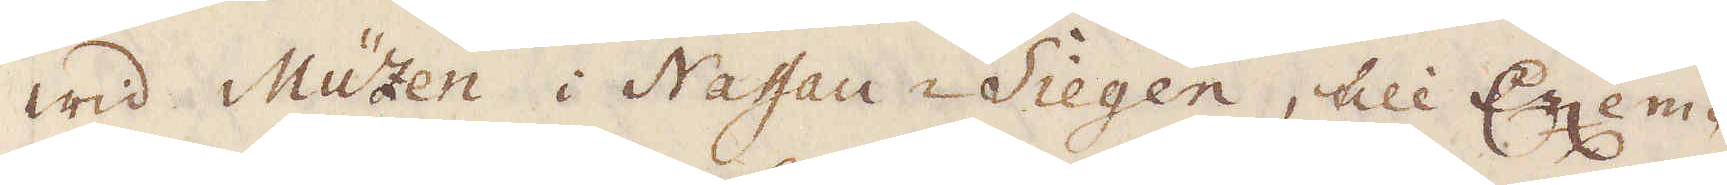Wid Müzten i Nassau-Siegen, till Exem-
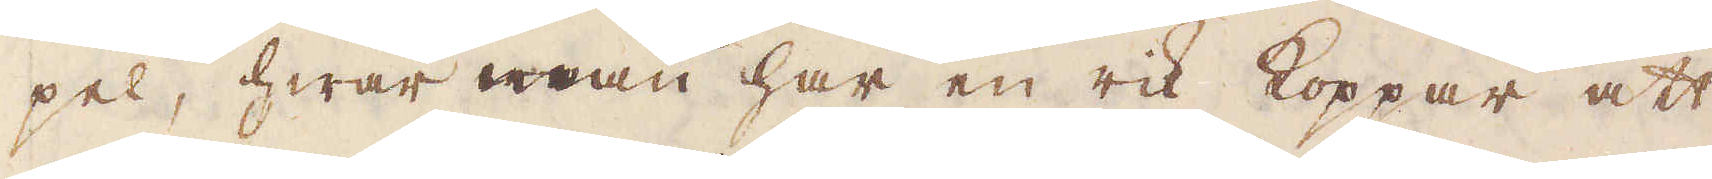pel, hwar man har en rik Koppar att
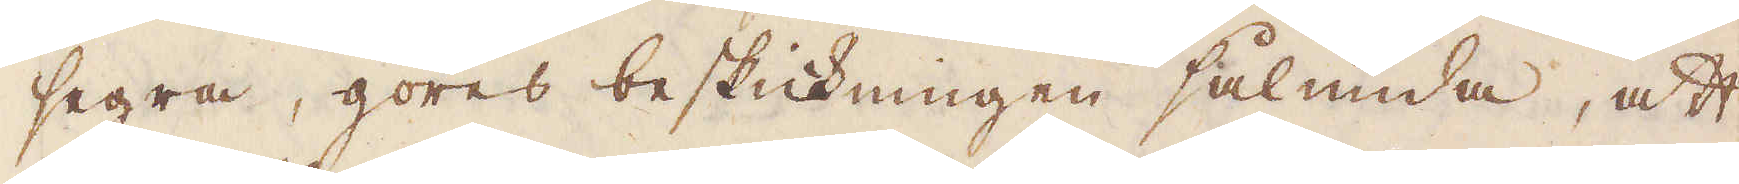segra, göres beskickningen sålunda, att
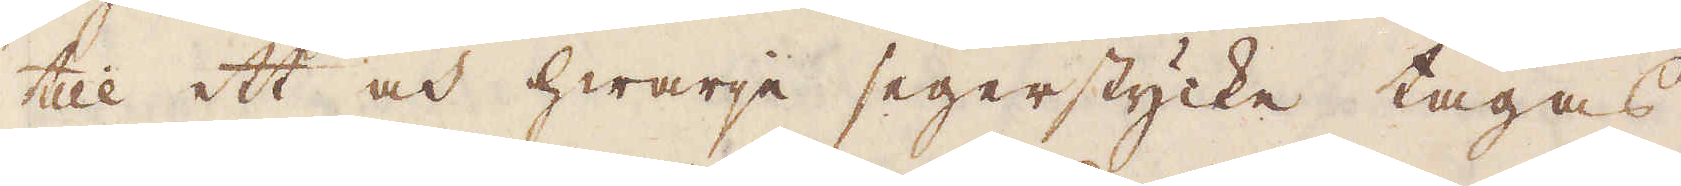till ett och hwarje segerstycke tagas,
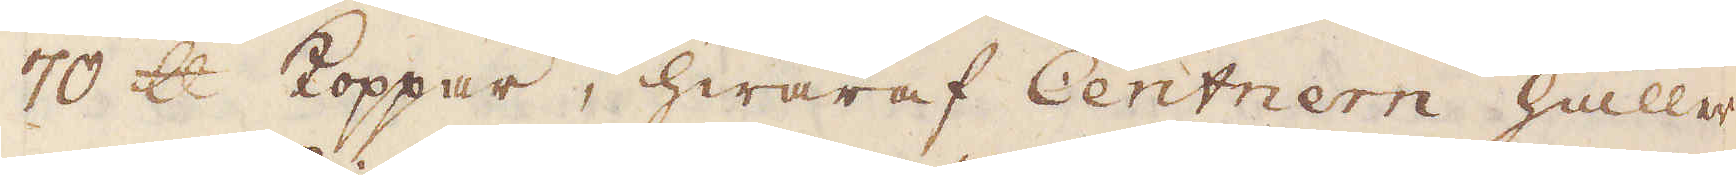70 skålpund Koppar, hwaraf Centnern håller
